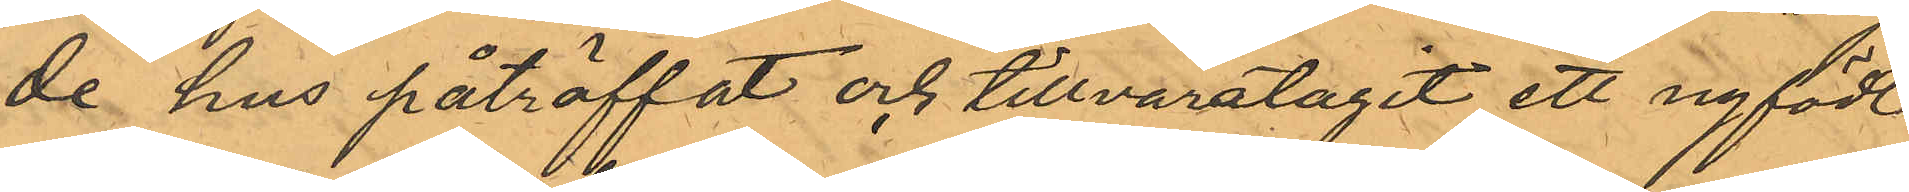de hus påträffat och tillvaratagit ett nyfödt
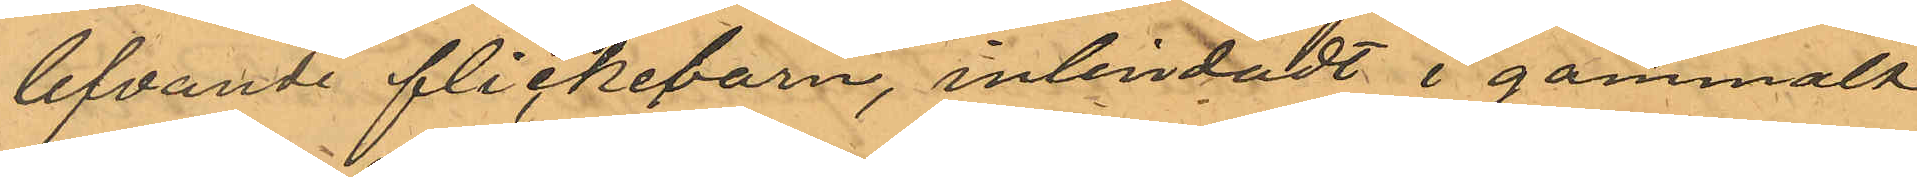lefvande flickebarn, inlindadt i gammalt
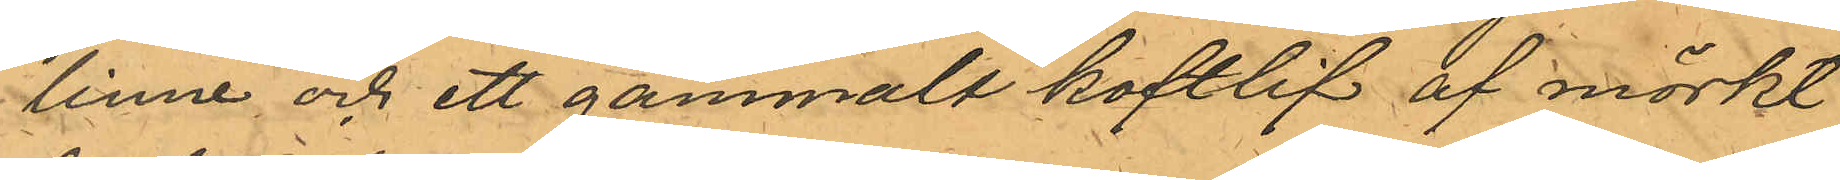linne och ett gammalt koftlif af mörkt
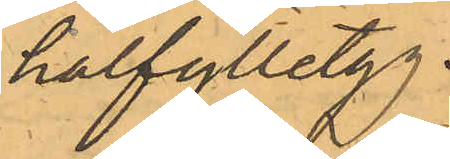halfylletyg.
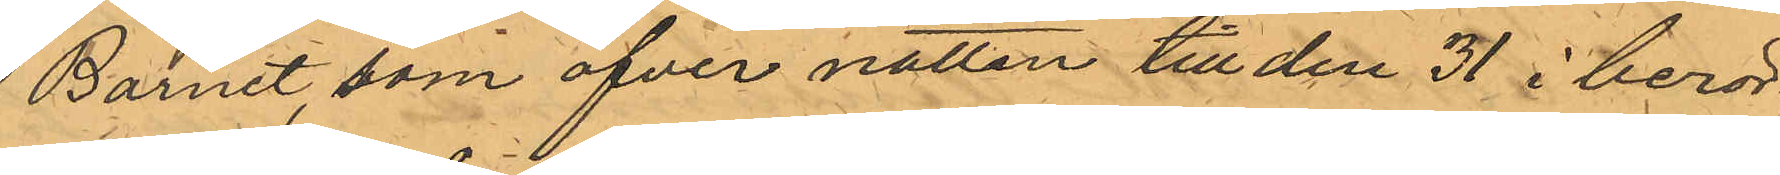Barnet, som öfver natten till den 31 i berör¬
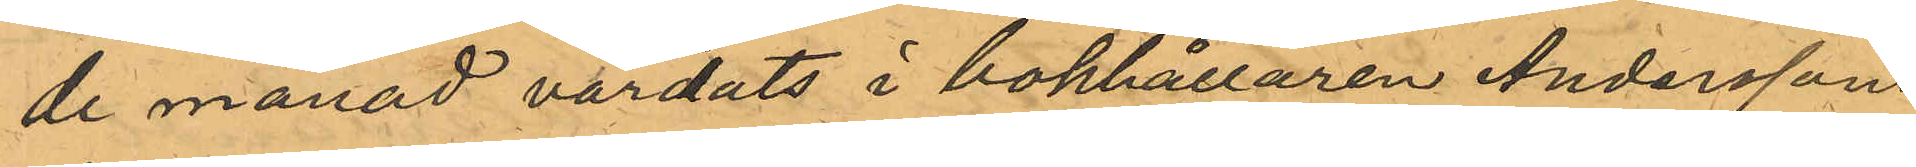de månad vårdats i bokhållaren Anderssons
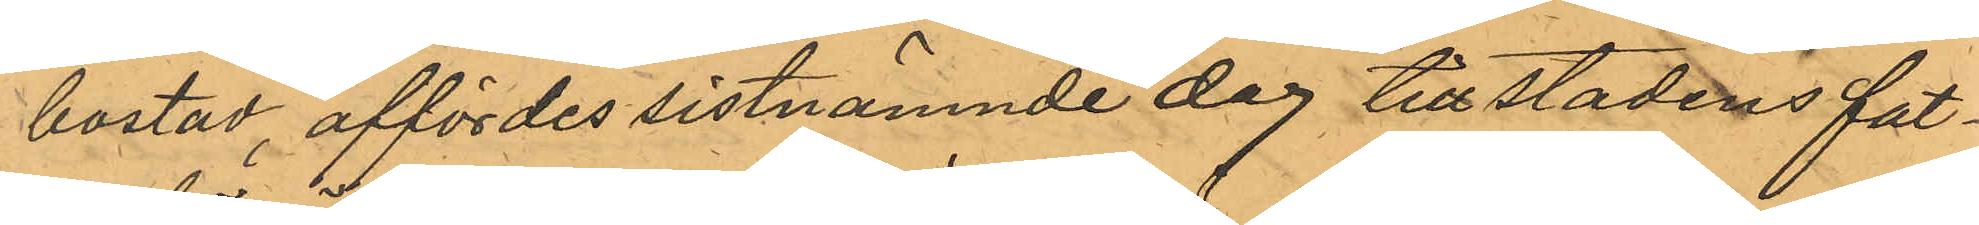bostad, affördes sistnämnde dag till stadens fat¬
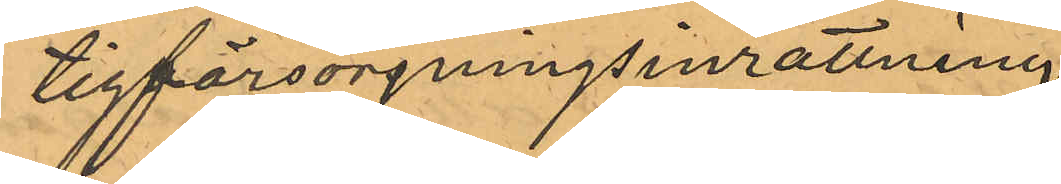tigförsörjningsinrättning.
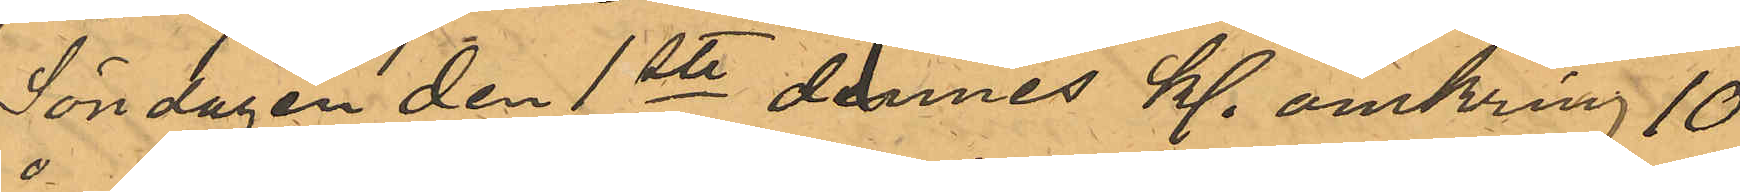Söndagen den 1ste dennes kl. omkring 10
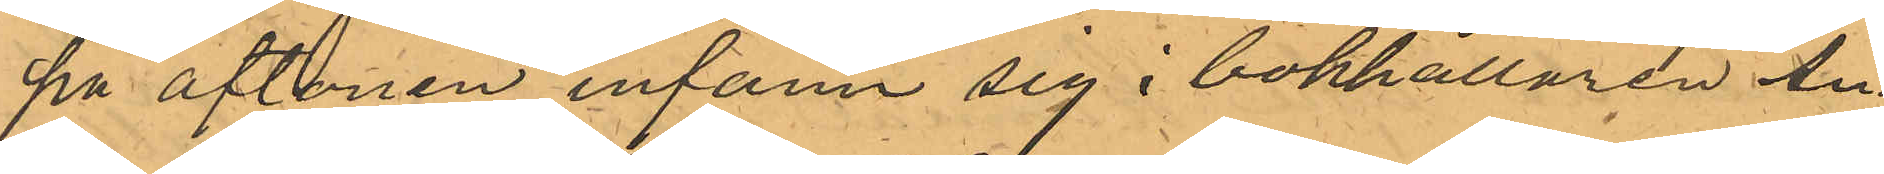på aftonen infann sig i bokhållaren An¬
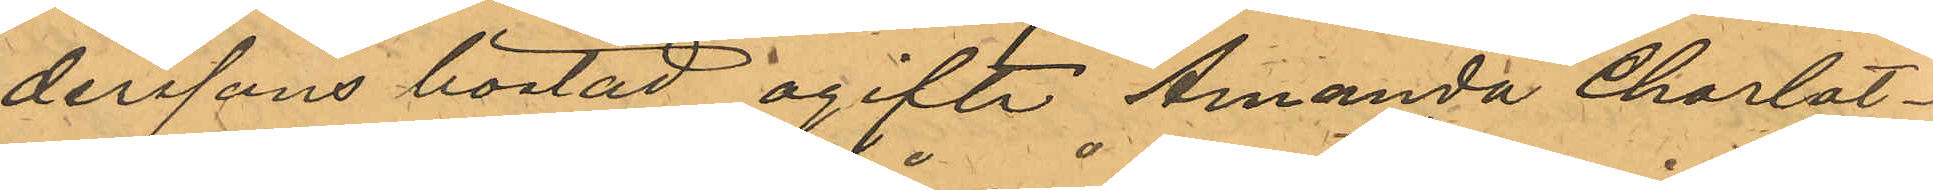derssons bostad ogifte Amanda Charlot¬
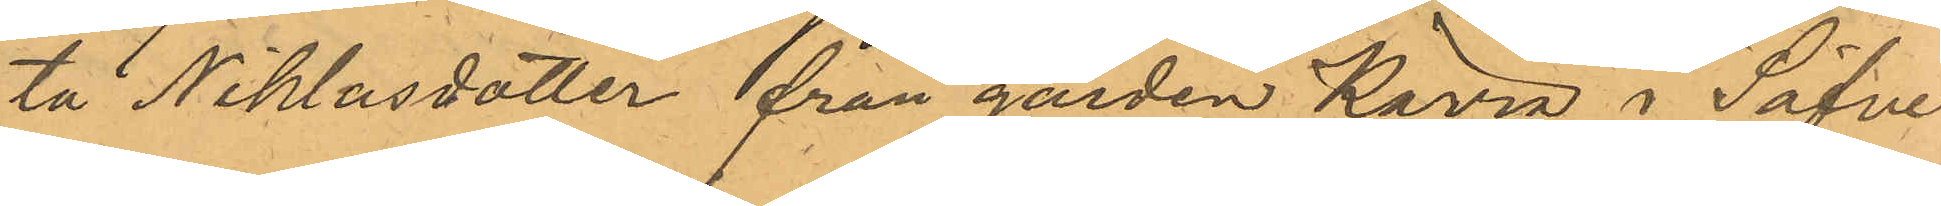ta Niklasdotter från gården Kärra i Säfve
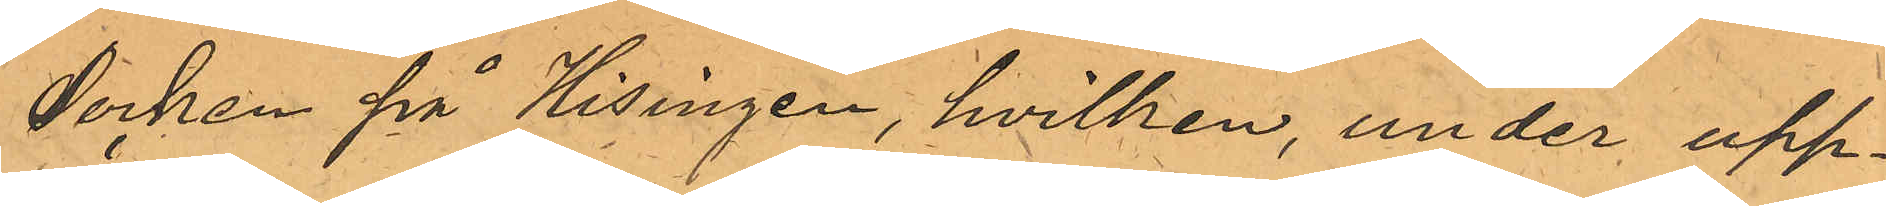Socken på Hisingen, hvilken, under upp¬
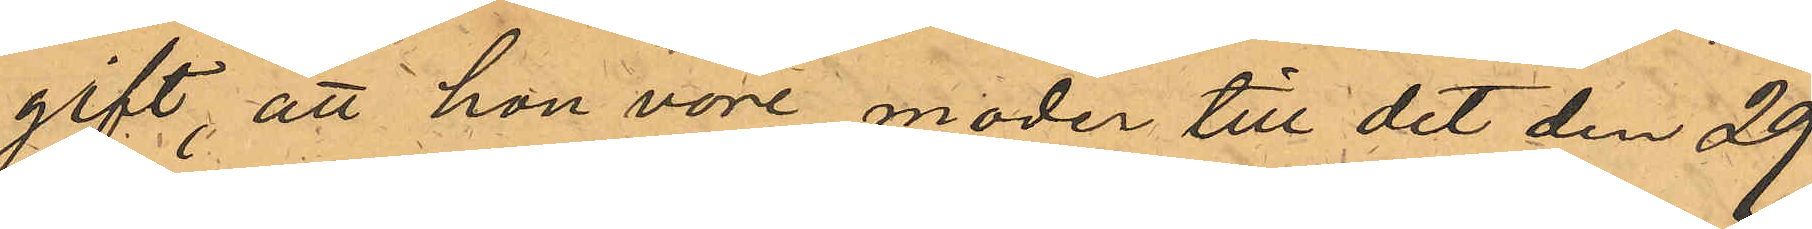gift, att hon vore moder till det den 29
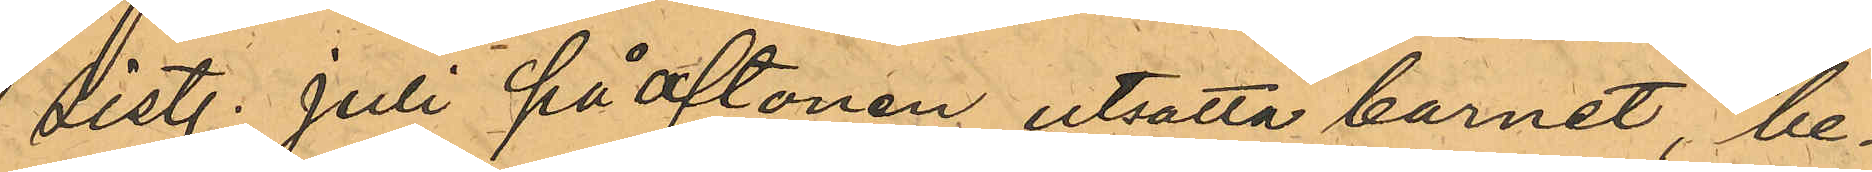sist. Juli på aftonen utsatta barnet, be¬
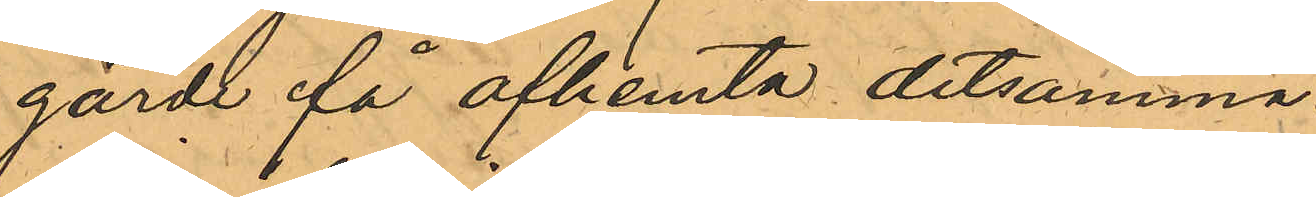gärde få afhemta detsamma.
